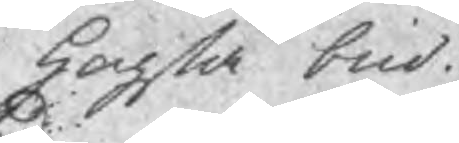hogsta bud.
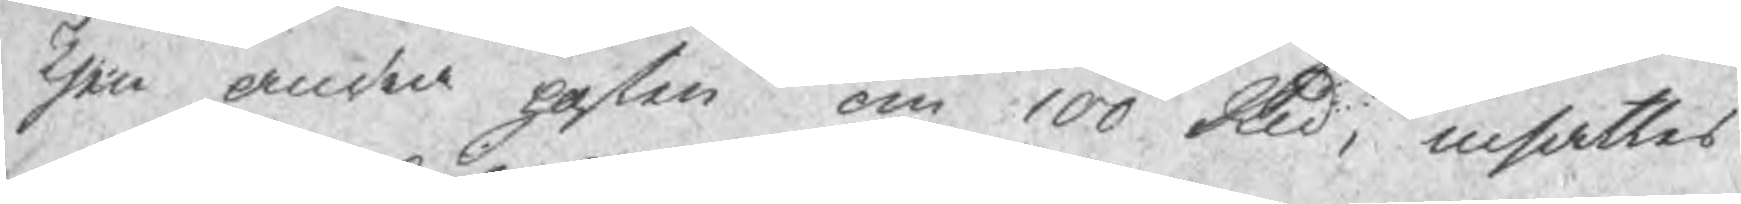Then andra posten om 100 Sld, utsattes
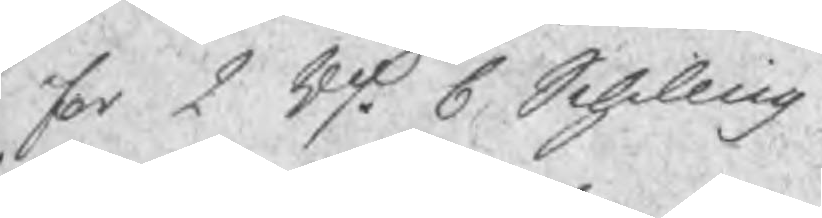for 2 Rd. 6 Schilling
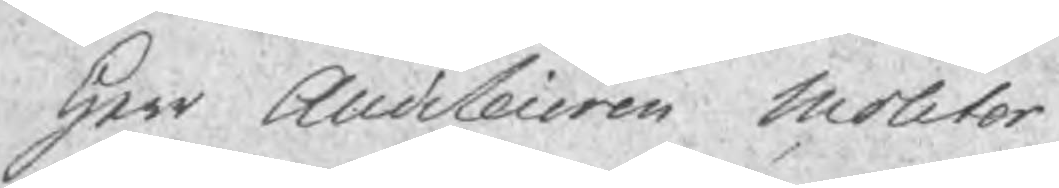Herr Auditeuren Molitor
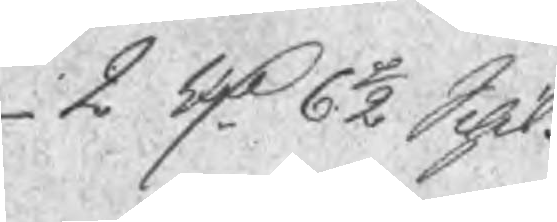2 Rd 6 ½ Schl.
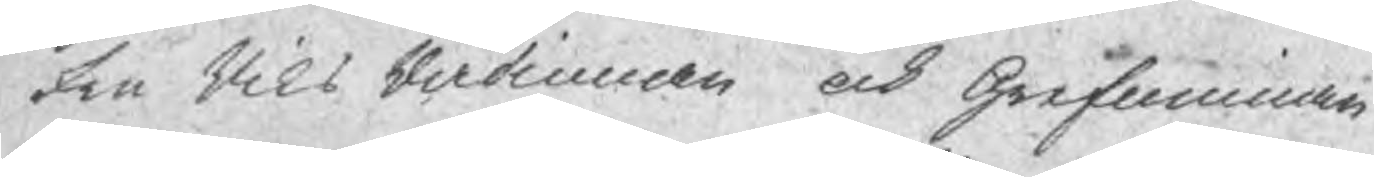Fru Riks Rådinnan och Grefuinnan
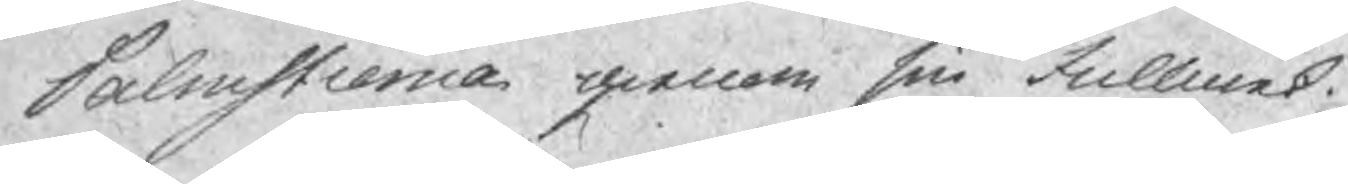Palmstierna genom sin fullmek¬
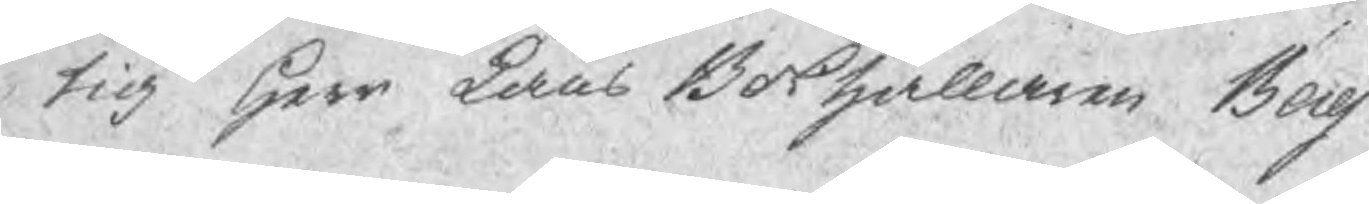tig Herr Läns Bokhållaren Berg
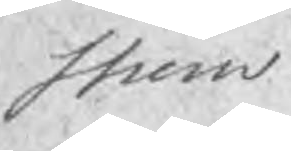strom.
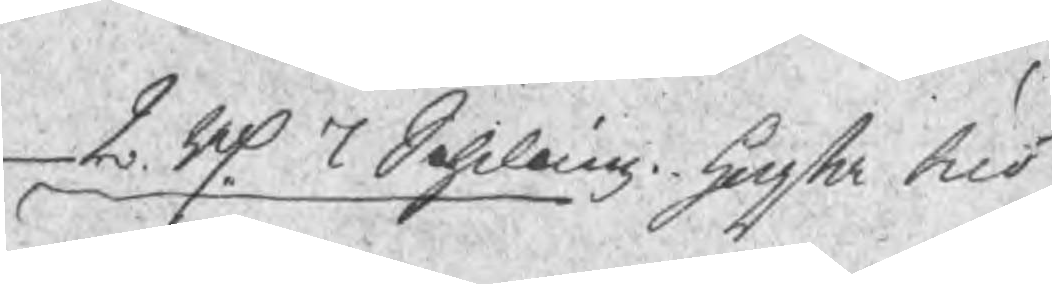2 Rd 7 Schilling hogsta bud
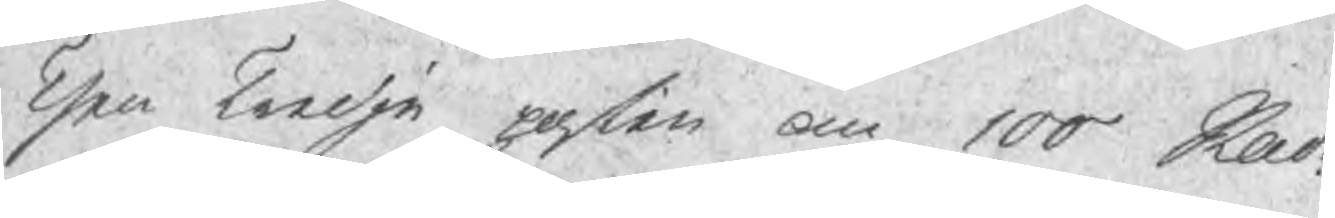Then Tredje posten om 100 Sad
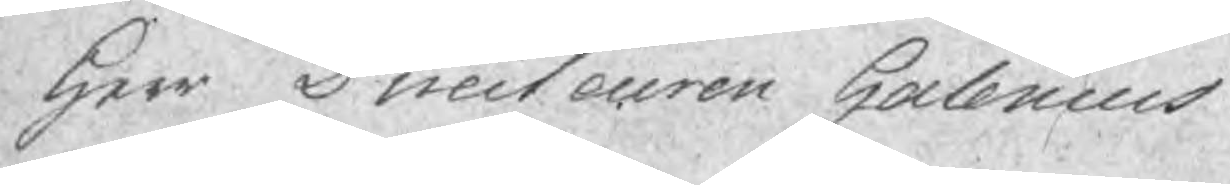Herr Directeuren Halenius
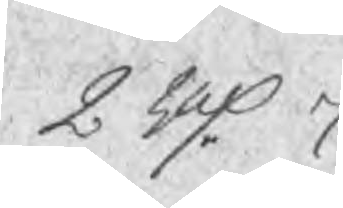2 Rd 7.
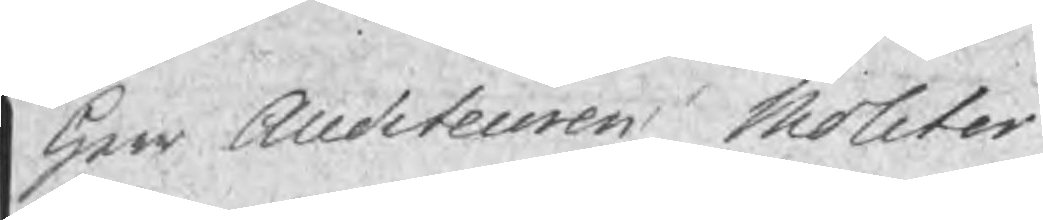Herr Auditeuren Molitor
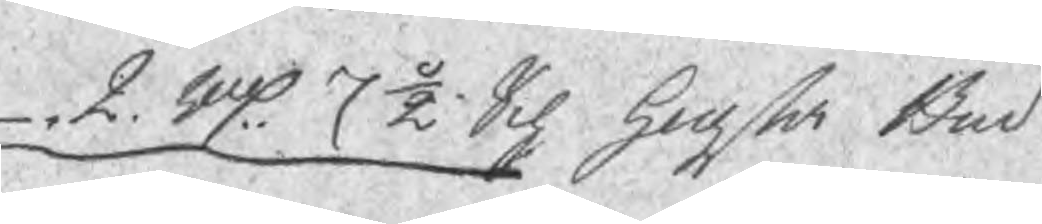2 Rd 7 ½ Sch hogsta Bud
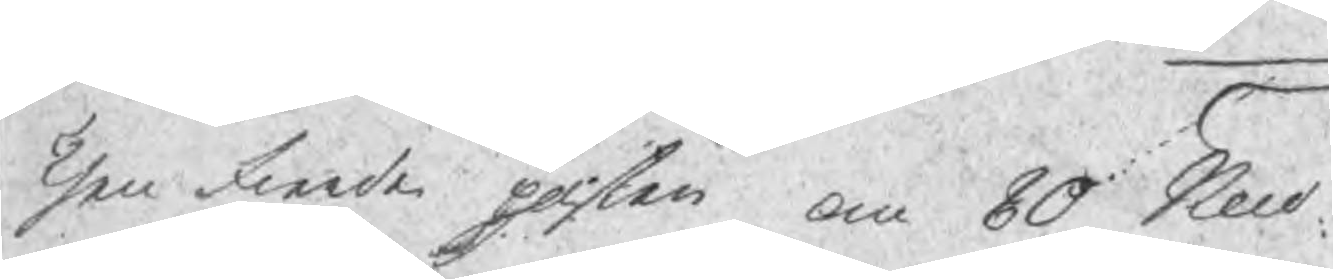Then Fierde posten om 80 Sur
